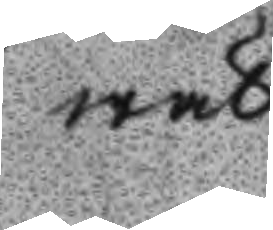wäl
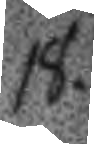18.
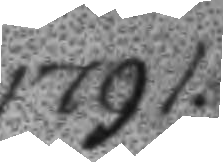1791.
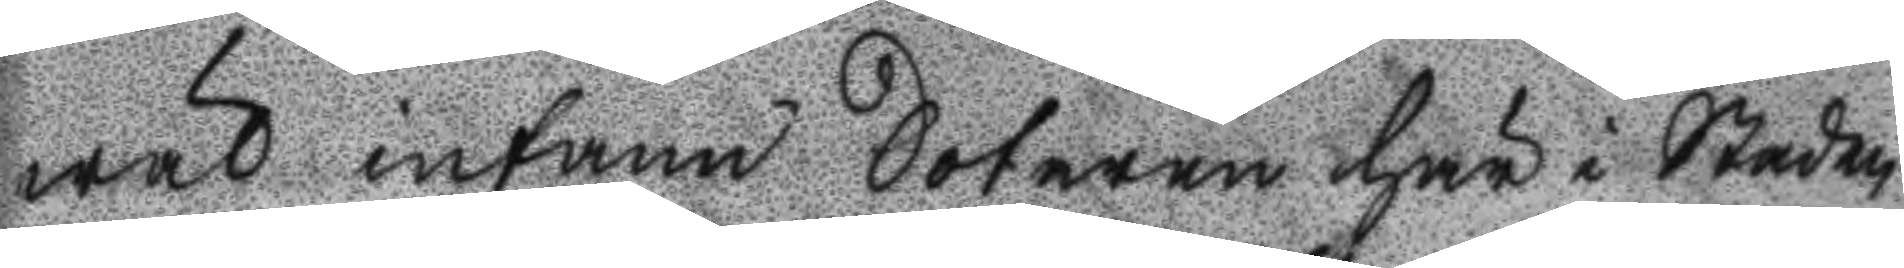wäl infann Sotaren här i Staden
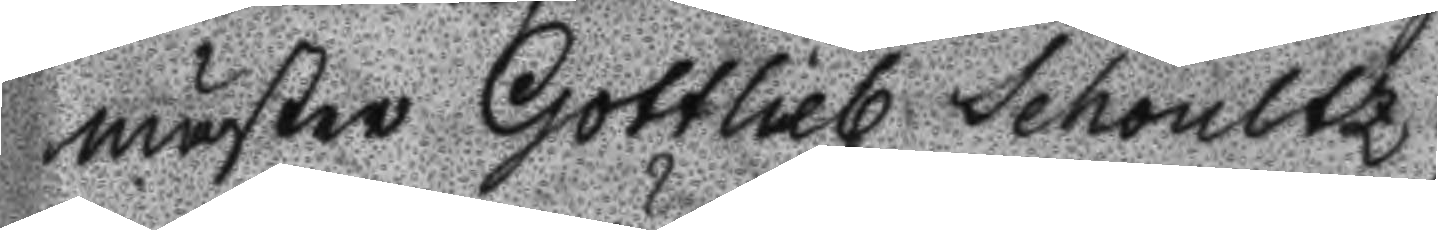mäster Gottlieb Schoultz.
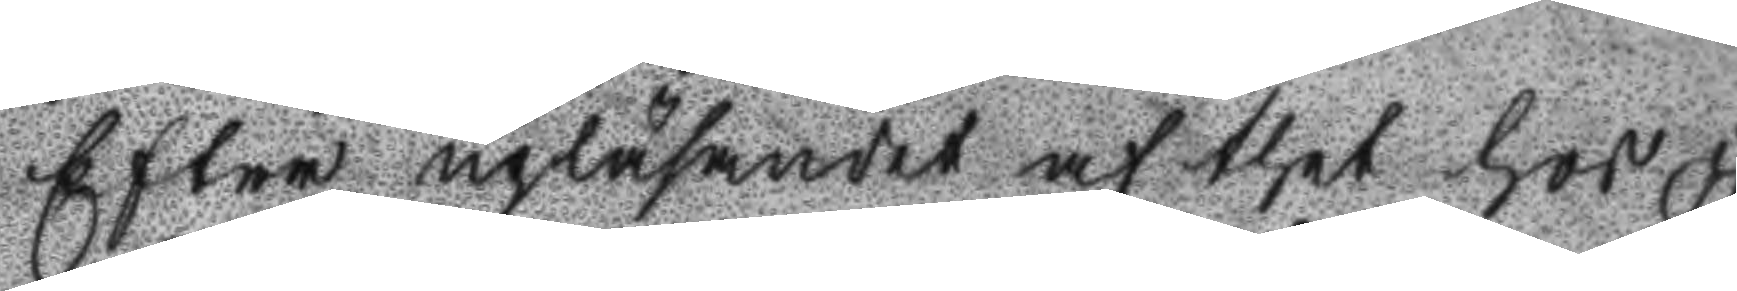Efter upläsandet af the hos Öf
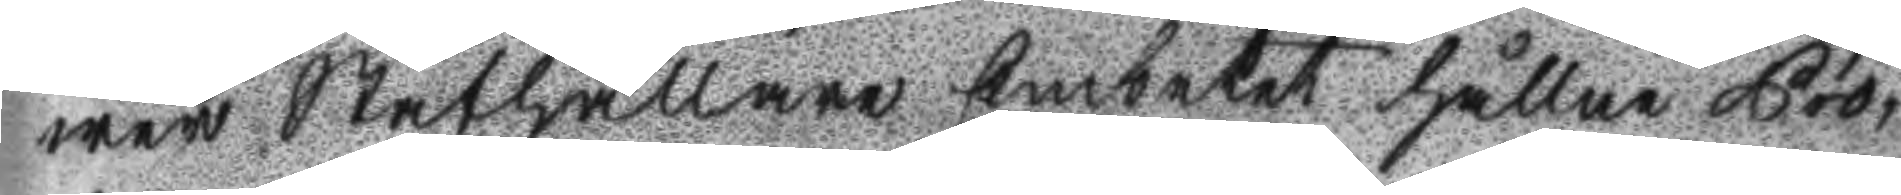wer Ståthållare Embetet hållne Pro¬
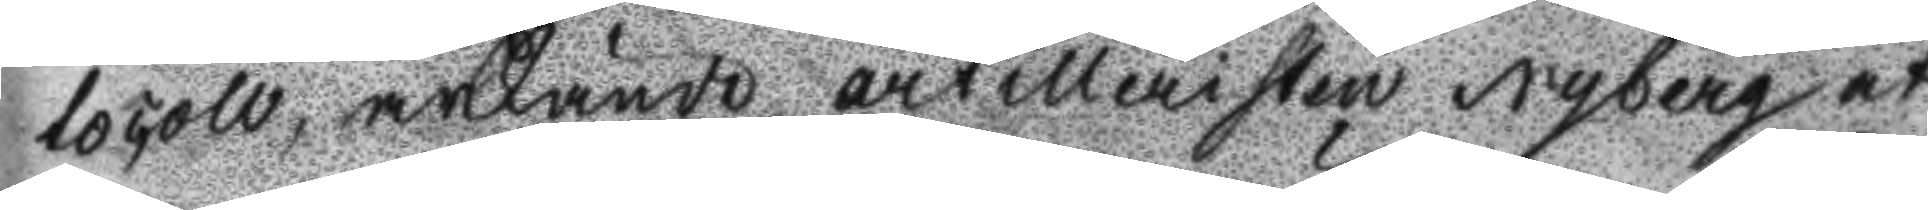tocoll, ärkände artilleristen Nyberg at
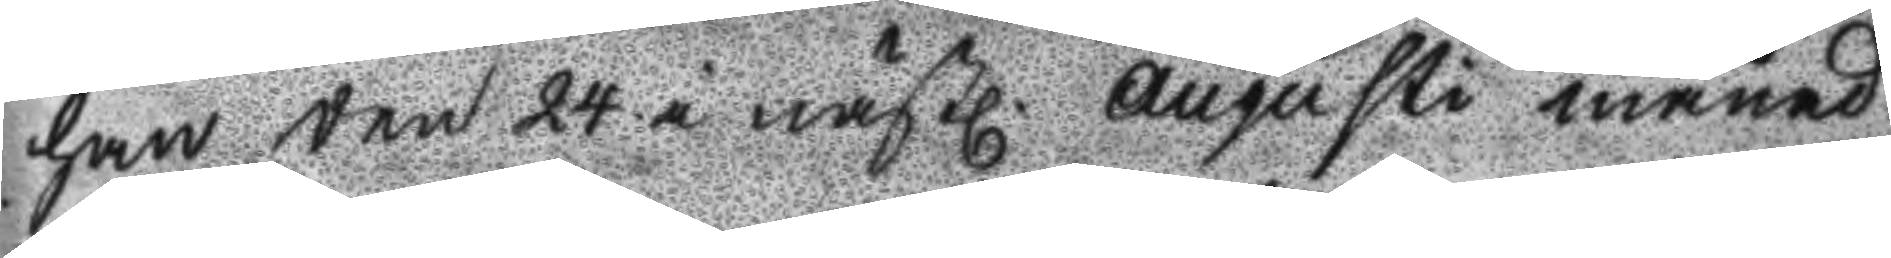han den24 i nästl. Augusti månad
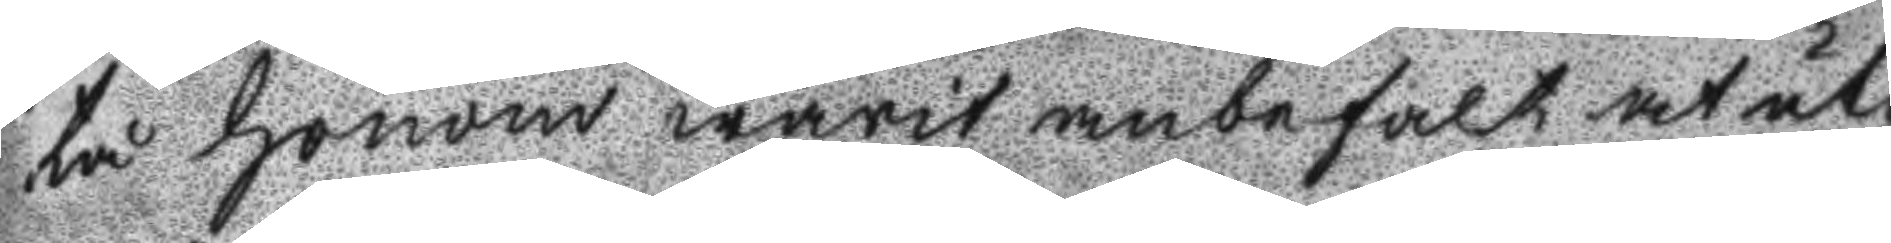tå honom warit anbefalt at uti
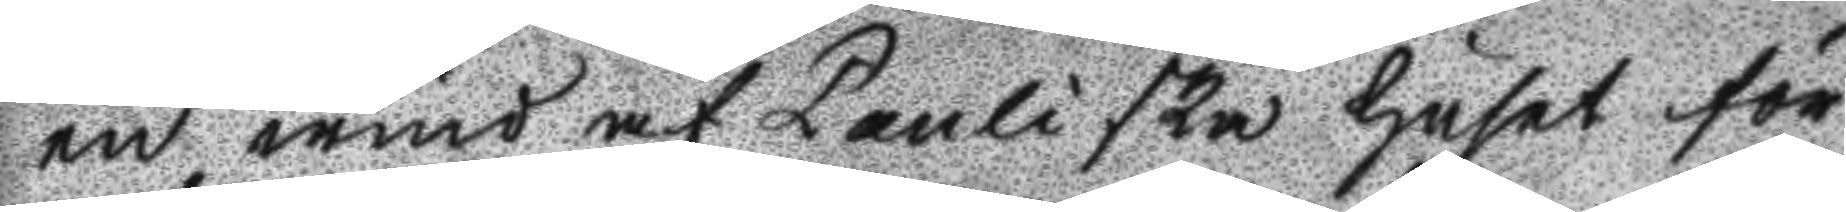en wind af Pauliska huset för
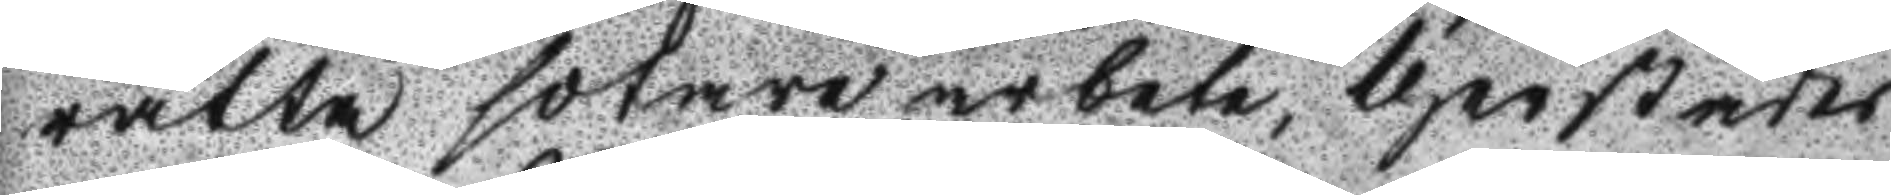rätta sotare arbete, therstädes
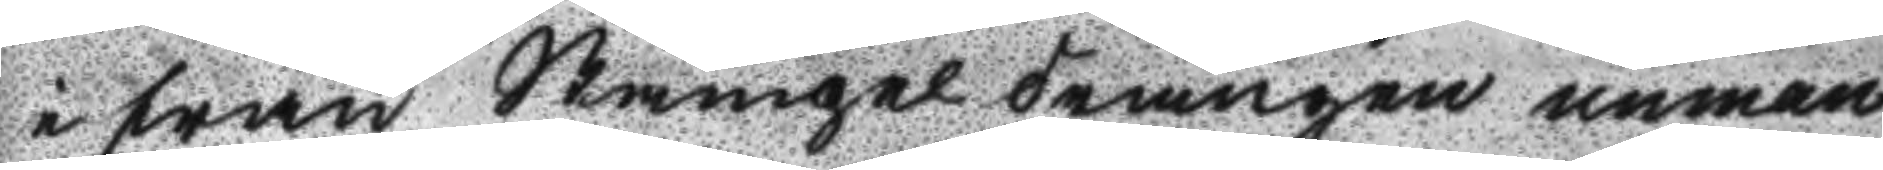i från Stängel drängen unman
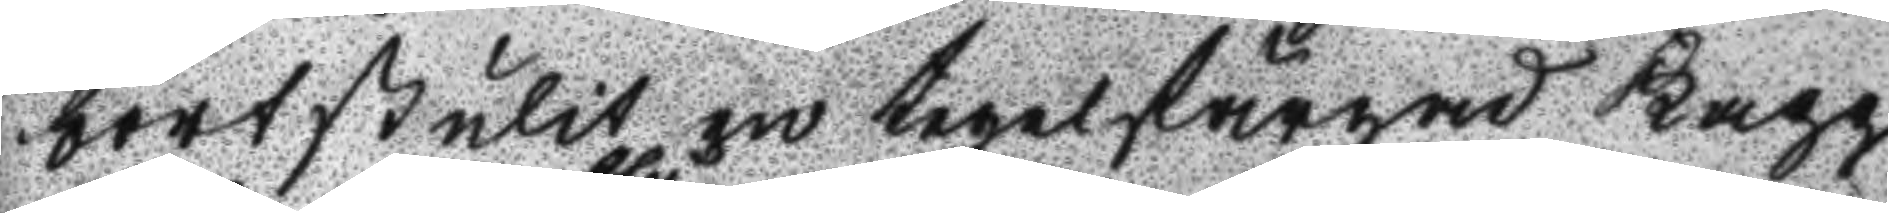bortstulit en tegelfärgad Kapp
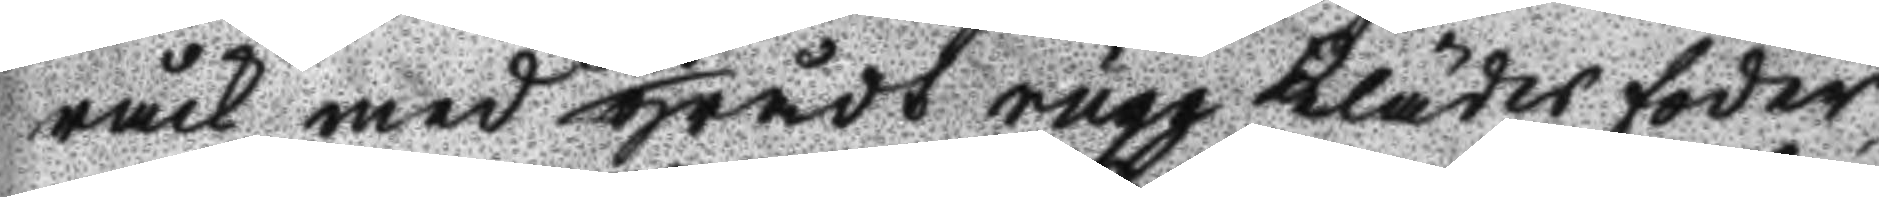råck med blå grådt ryggklädesfoder
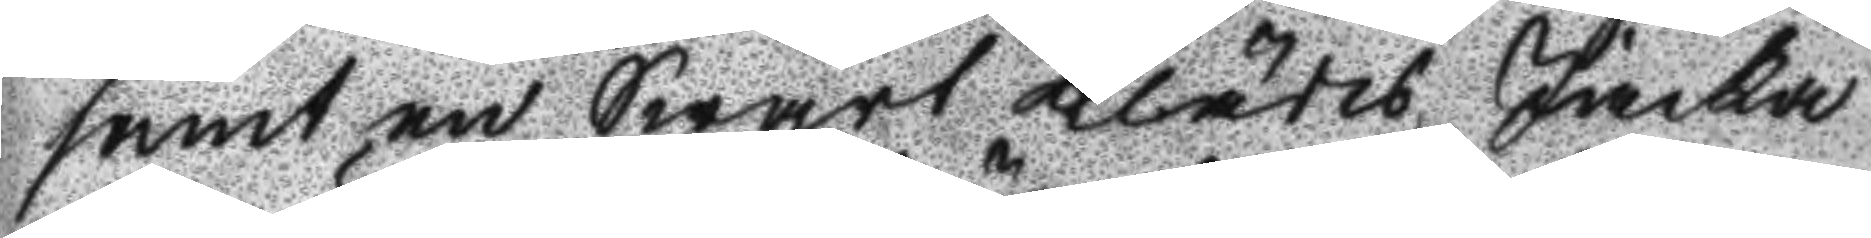samt en Swart Klädes jacka
